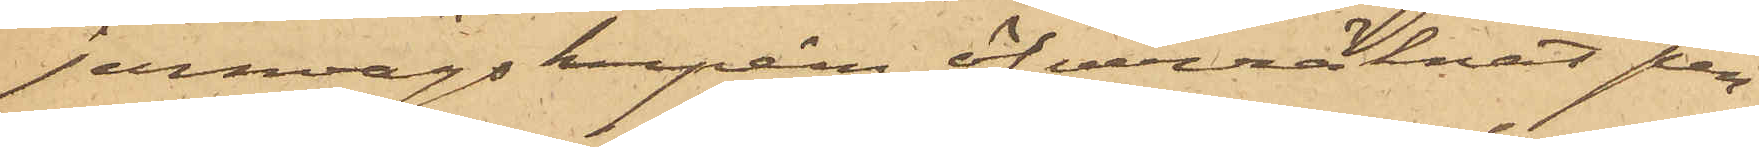jernvägskupén öfverräknat pen¬
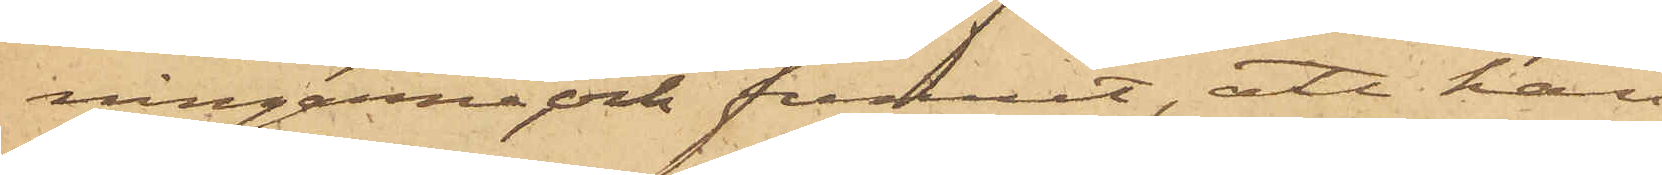ningarne och funnit, att han
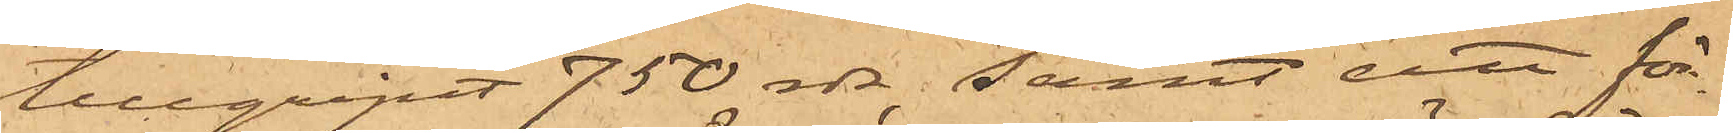tillgripit 750 rdr; samt att för¬
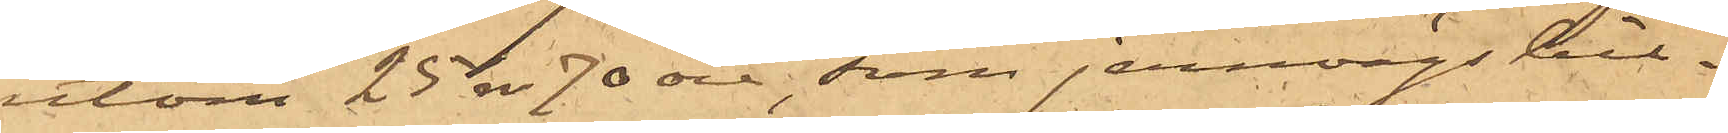utom 25 rdr 70 öre, som jernvägsbil¬
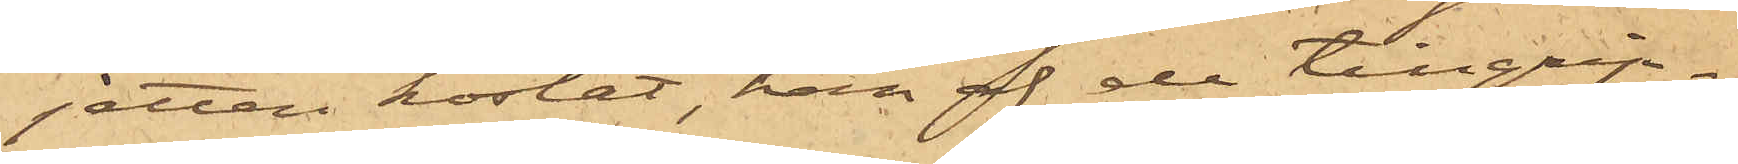jetten kostat, han af de tillgrip¬
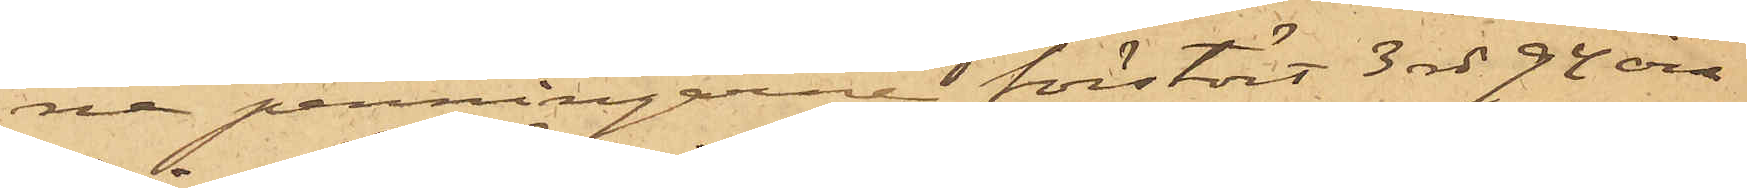ne penningarne förstört 3 rdr 94 öre.
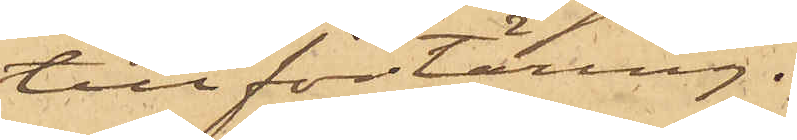till förtäring.
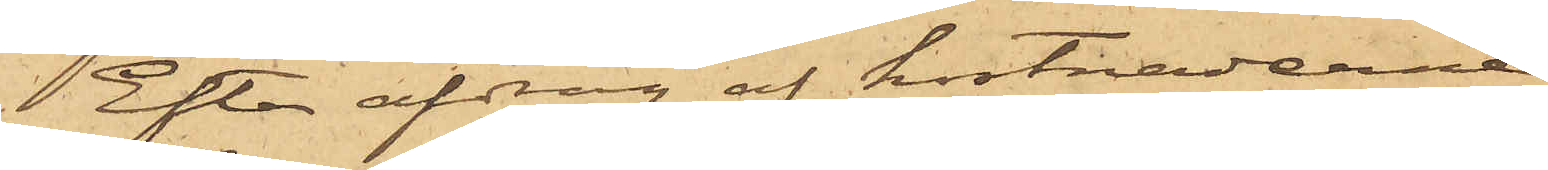Efter afdrag af kostnaderne
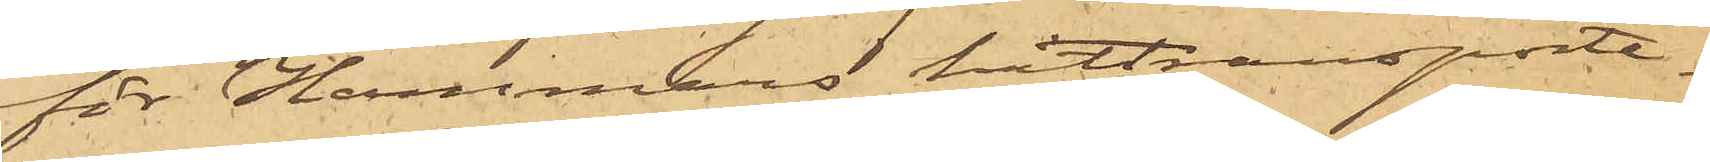för Hammars hittransporte¬
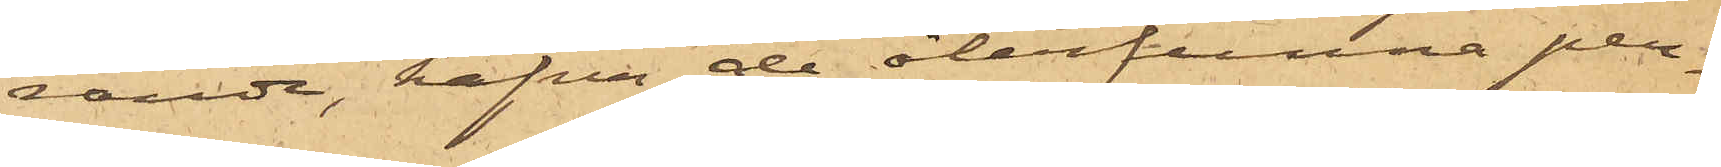rande, hafva de återfunna pen¬
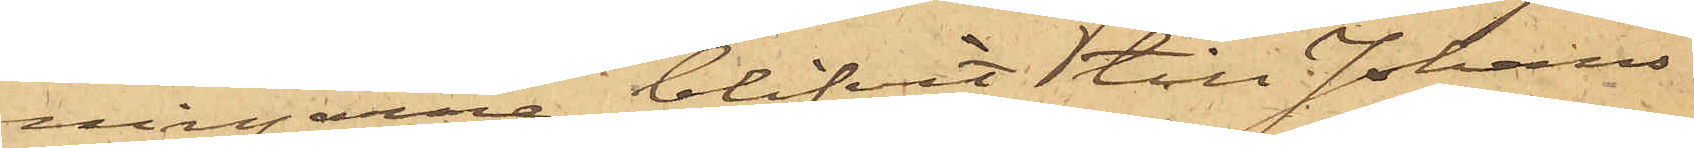ningarne blifvit till Johans¬
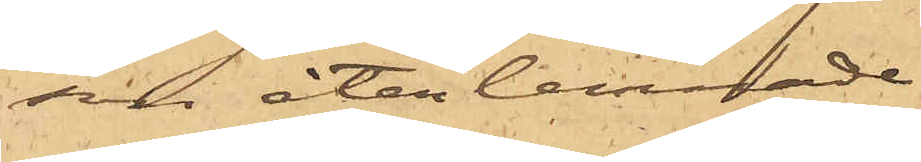son återlemnade.
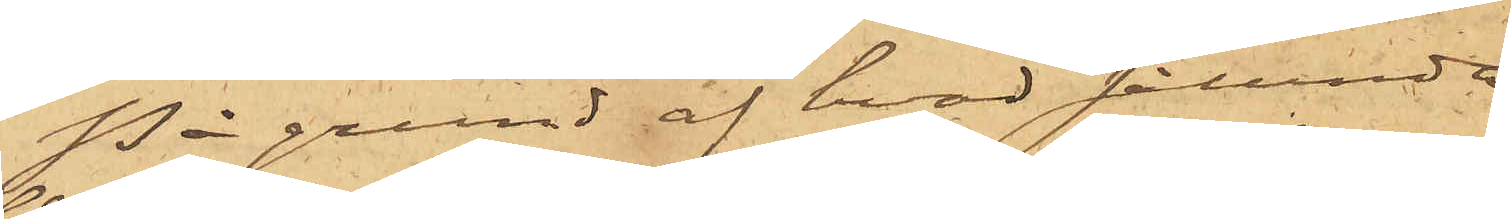På grund af hvad sålunda
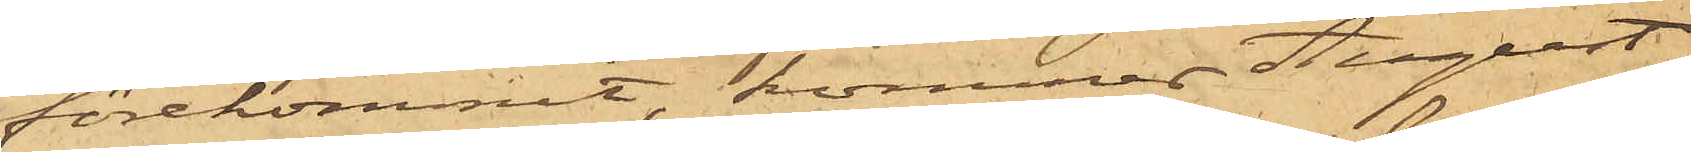förekommit, kommer August
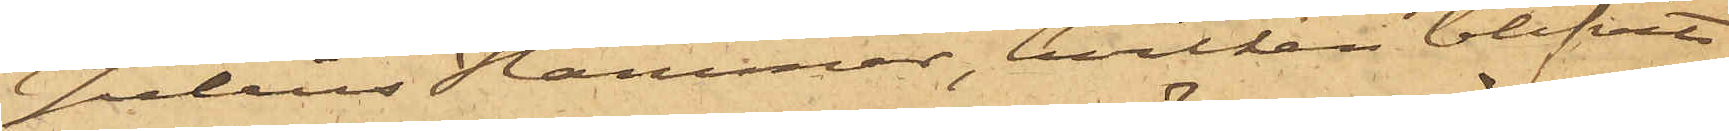Julius Hammar, hvilken blifvit
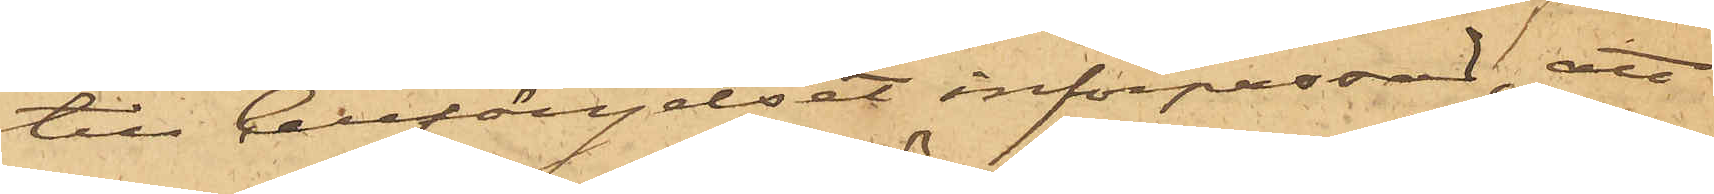till Cellfängelset införpassad, att
